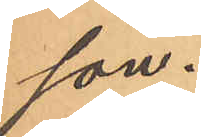son.
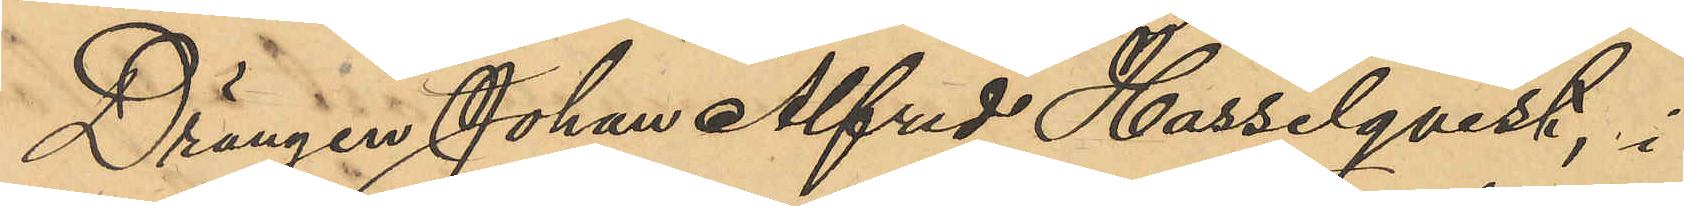Drängen Johan Alfred Hasselqvist, i
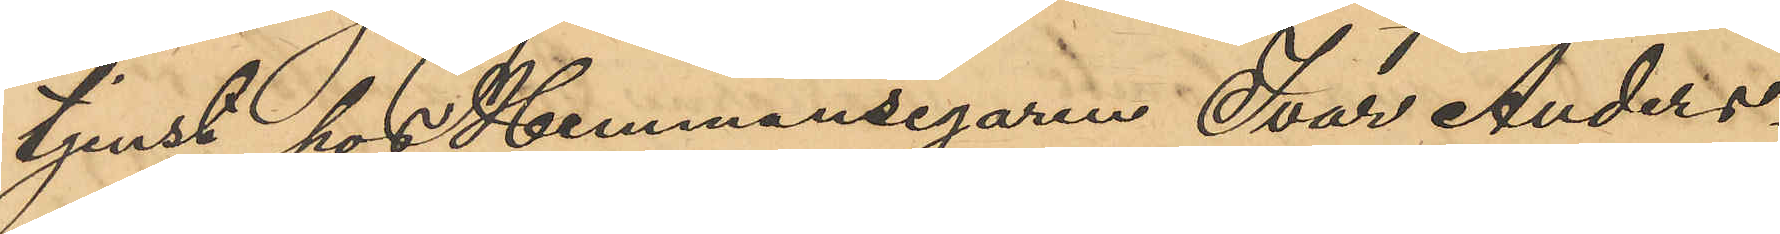tjenst hos Hemmansegaren Ivar Anders¬
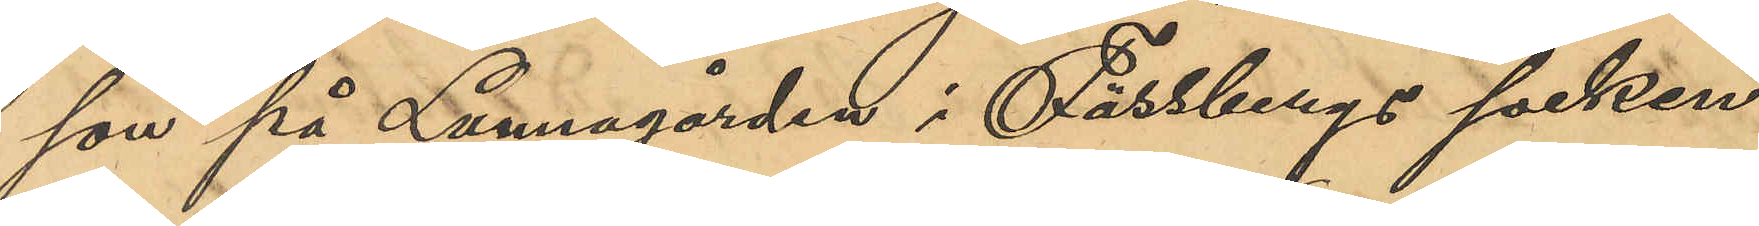son på Lunnagården i Fässbergs socken
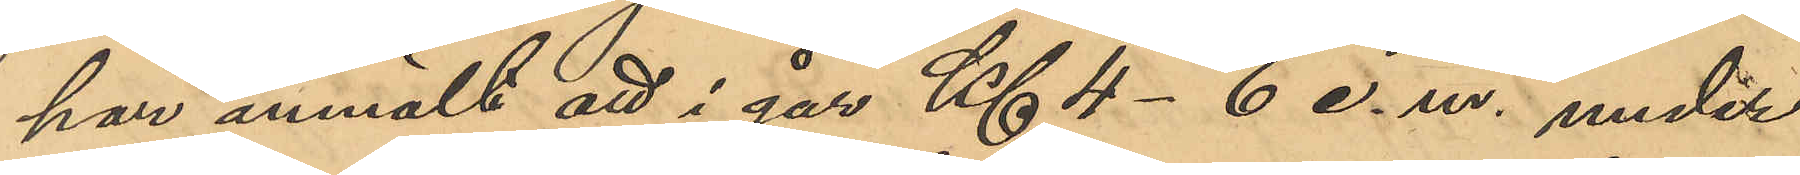har anmält att i går Kl 4-6 e. m. under
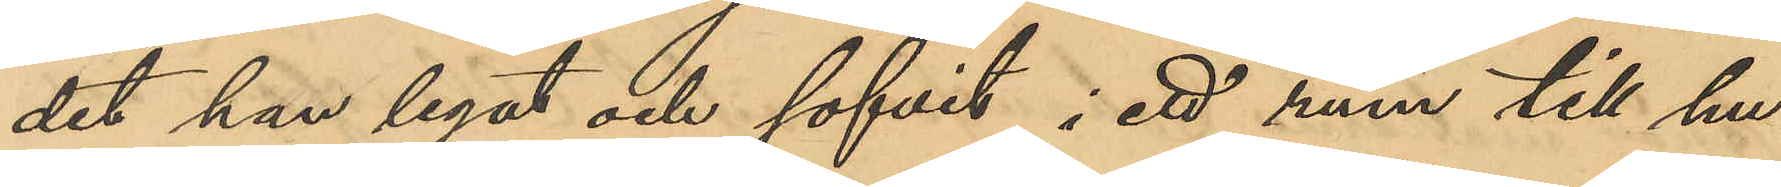det han legat och sofvit i ett rum till hu¬
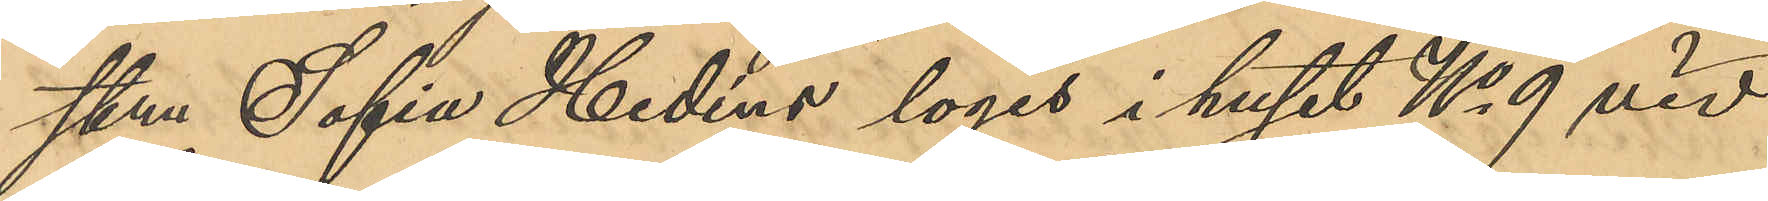stru Sofia Hedéns logis i huset No 9 vid
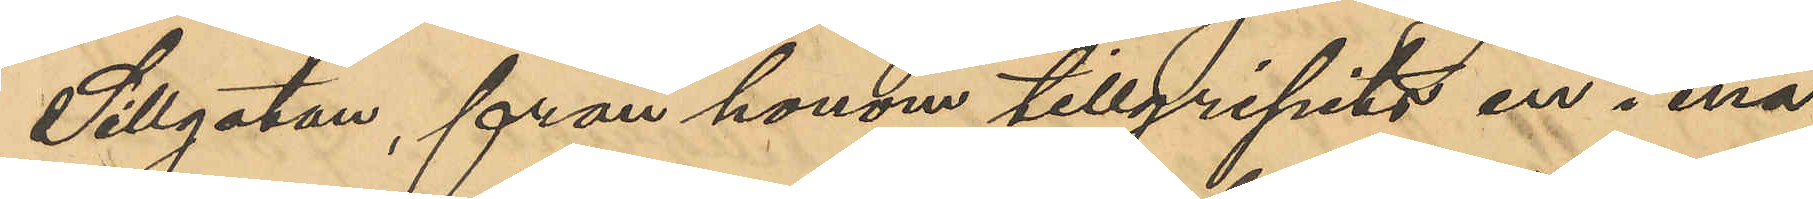Sillgatan, från honom tillgripits en i ena
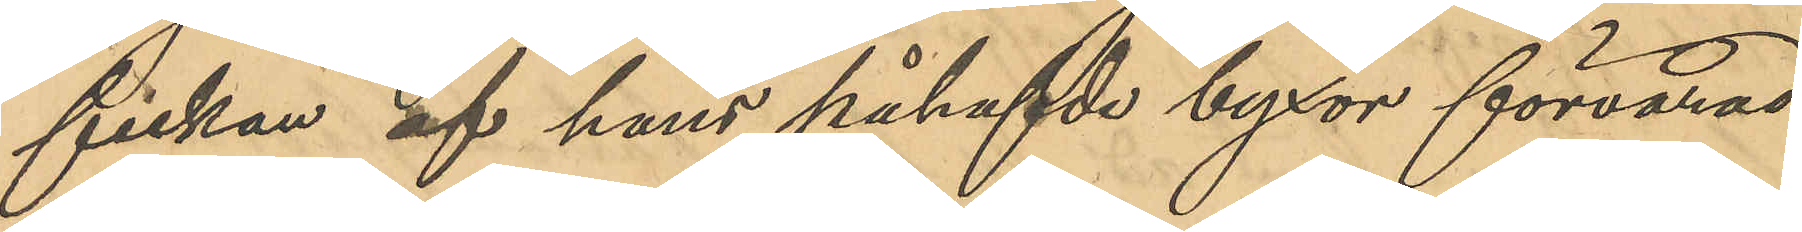fickan af hans påhafvde byxor förvarad
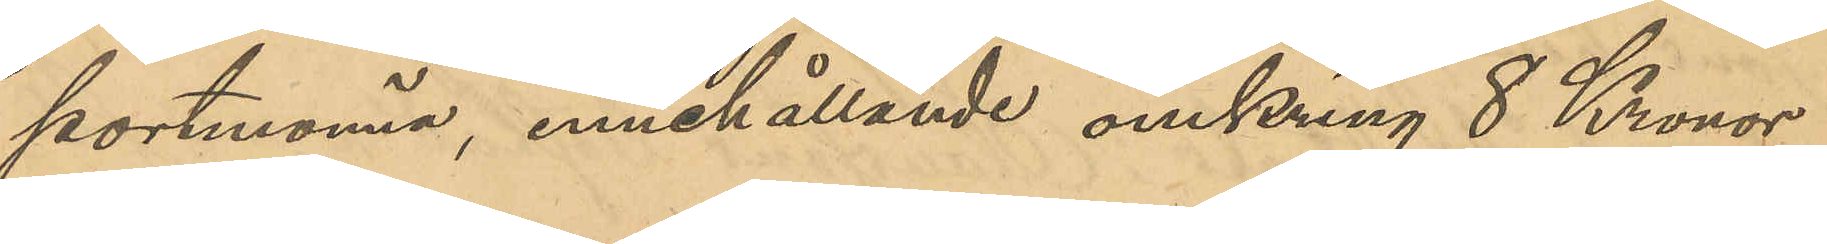portmonnä, innehållande omkring 8 Kronor,
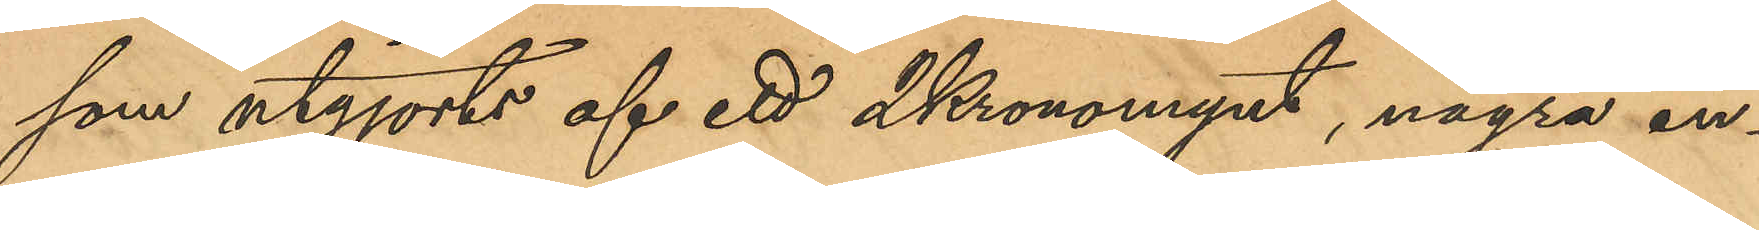som utgjorts af ett 2Kronomynt, några en¬
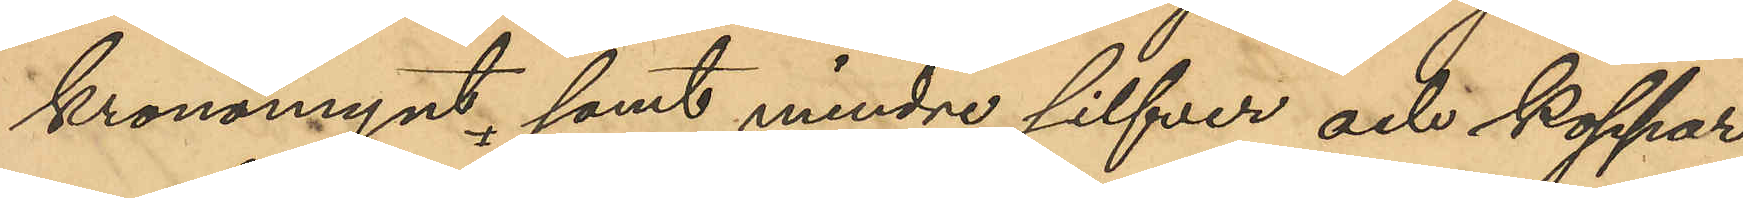kronomynt, samt mindre silfver och koppar¬
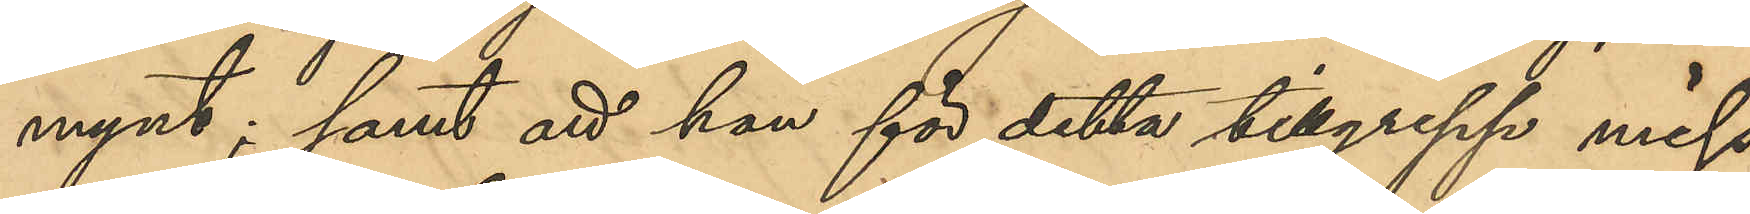mynt; samt att han för detta tillgrepp miss¬
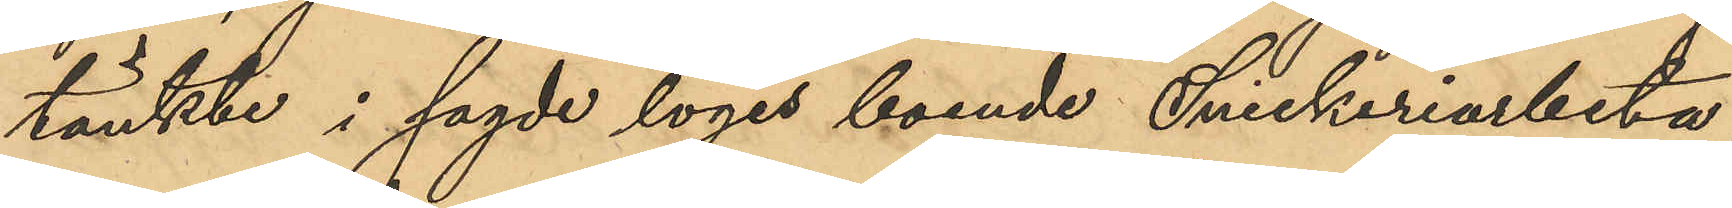tänkte i sagde logis boende Snickeriarbeta¬
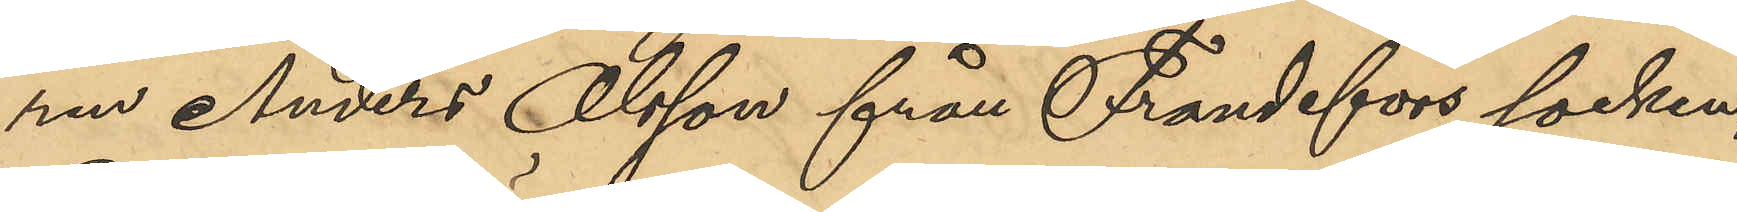ren Anders Olsson från Frandefors socken,
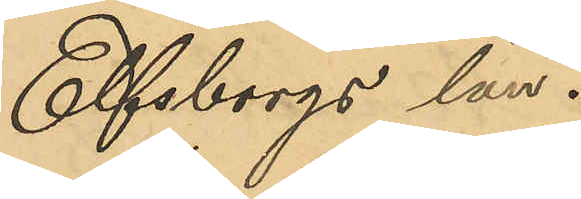Elfsborgs län.
